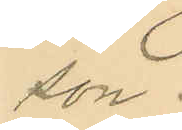son.
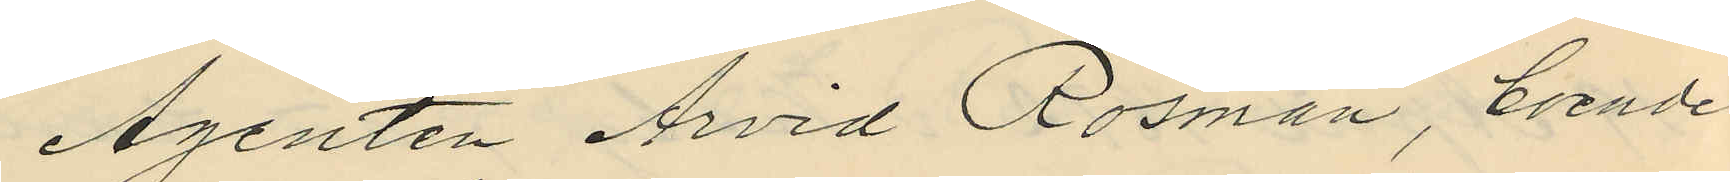Agenten Arvid Rosman, boende
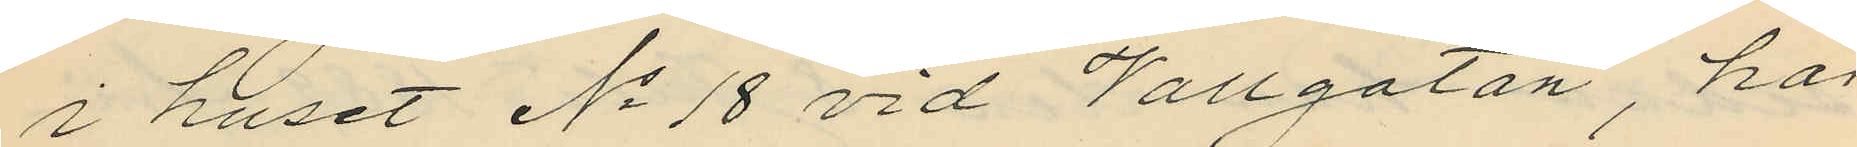i huset No 18 vid Vallgatan, har
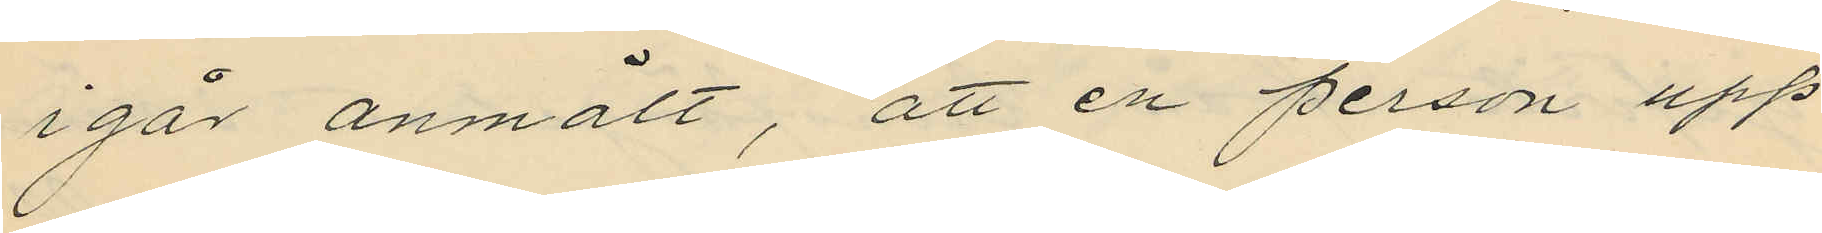i går anmält, att en person upp¬
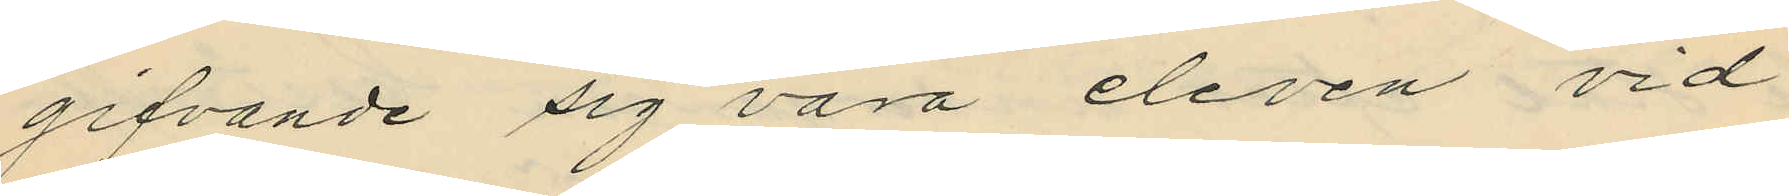gifvande sig vara eleven vid
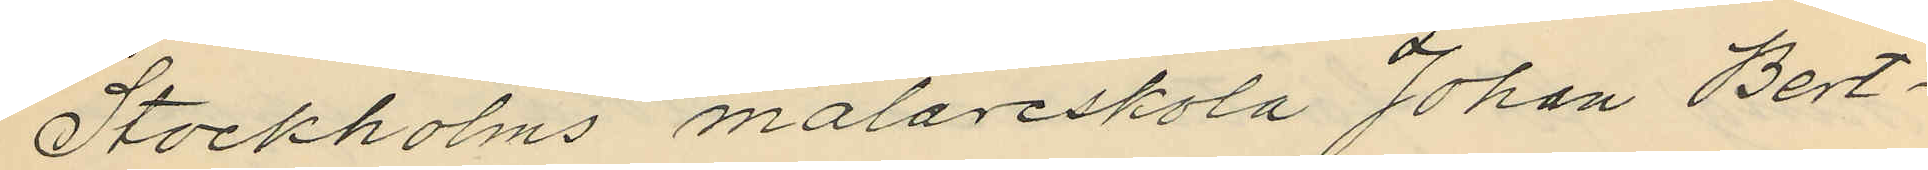Stockholms målareskola Johan Bert¬
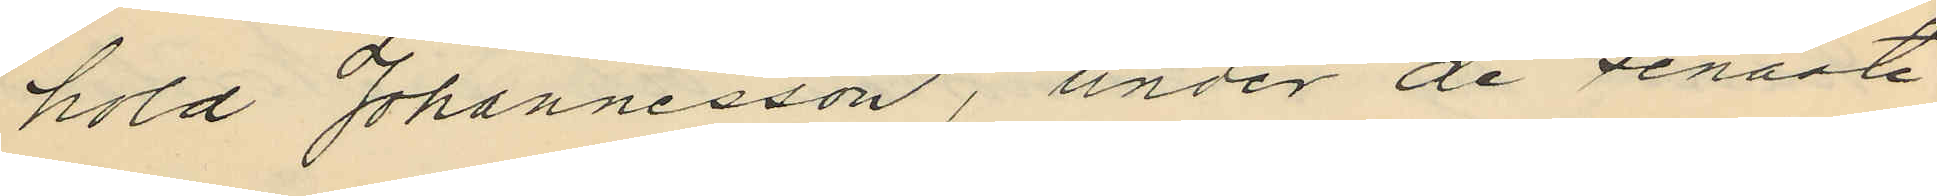hold Johannesson, under de senaste
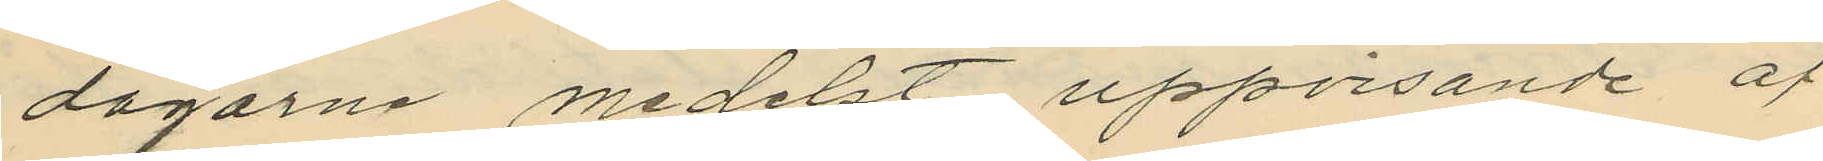dagarna medelst uppvisande af
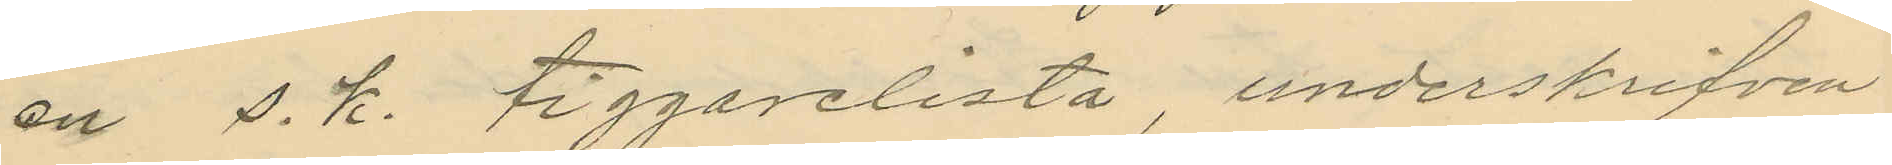en s.k. tiggarelista, underskrifven
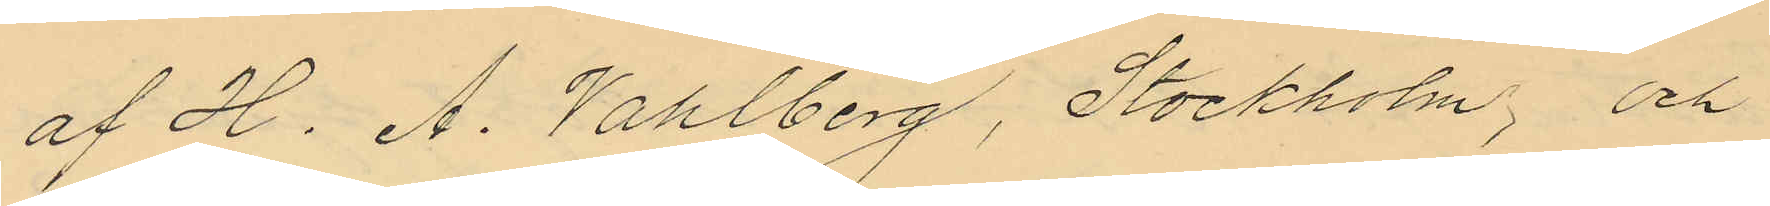af H. A. Vahlberg, Stockholm, och
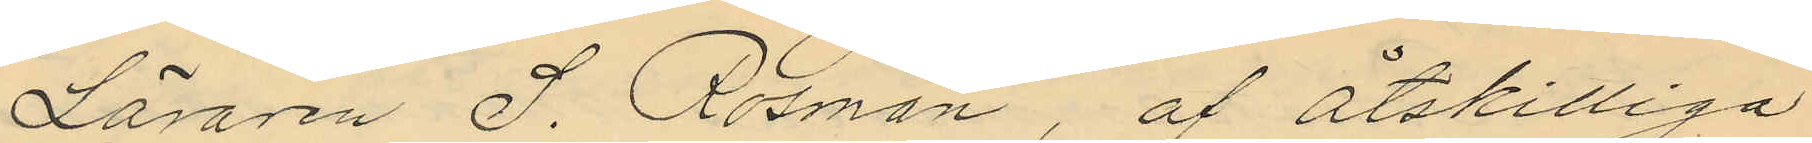Läraren S. Rosman, af åtskilliga
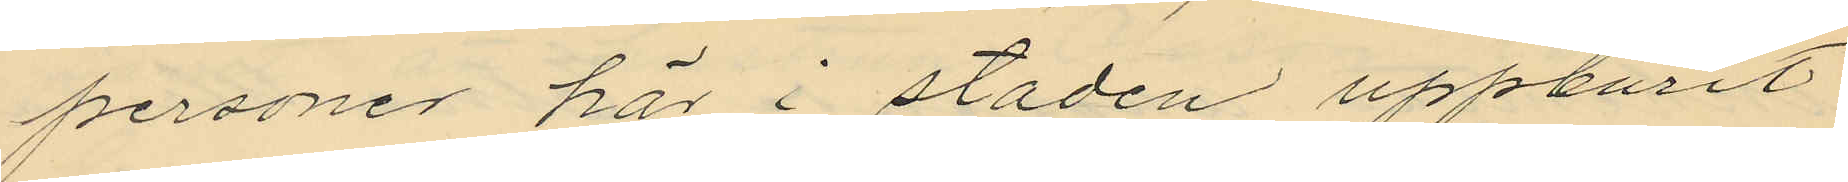personer här i staden uppburit
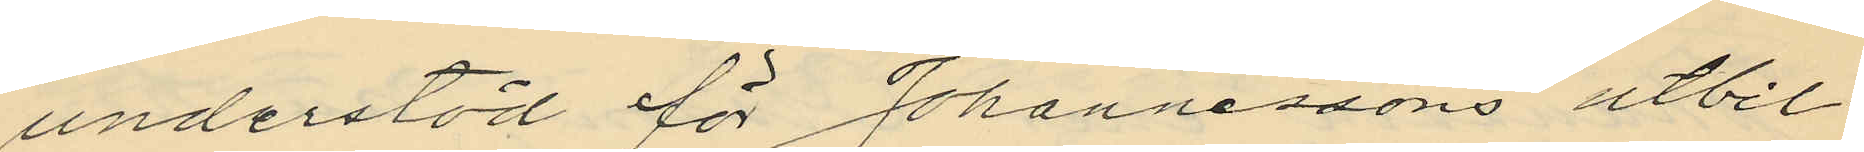understöd för Johannessons utbil¬
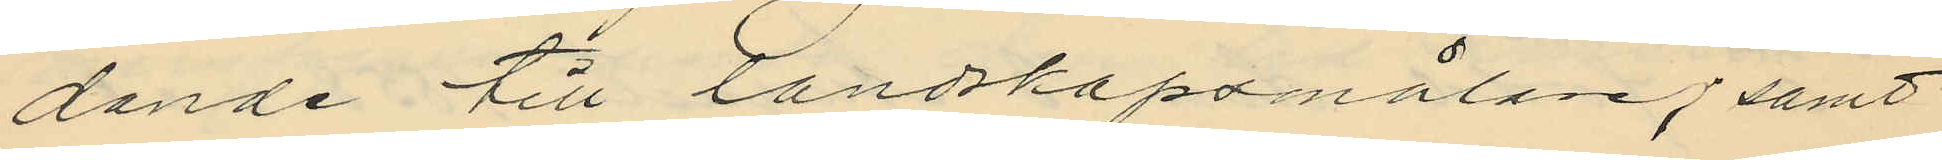dande till landskapsmålare; samt
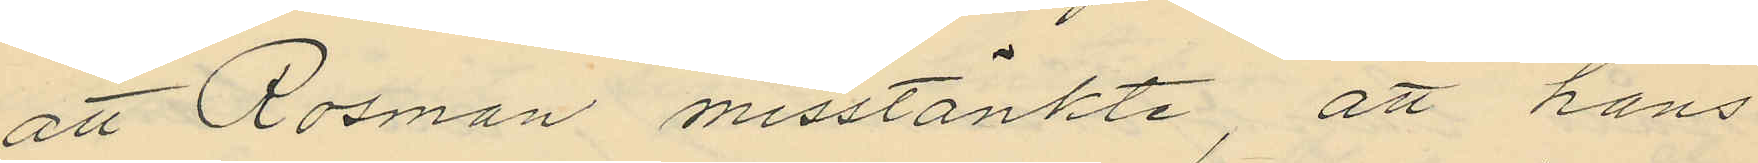att Rosman misstänkte, att hans
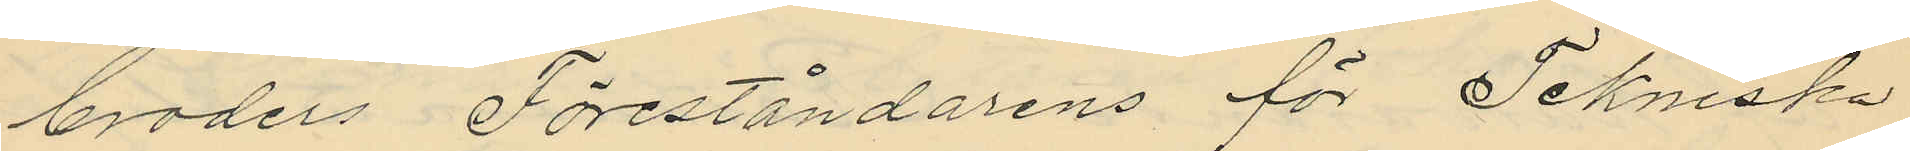broders Föreståndarens för Tekniska
